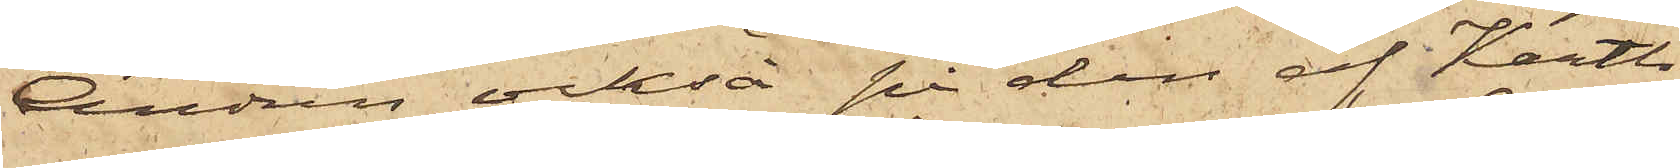Andrén också på den af Kartlh
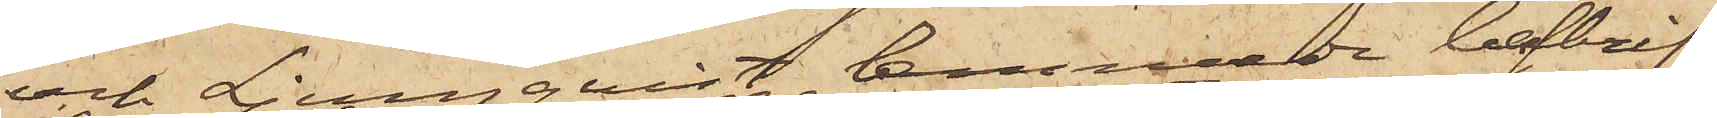och Ljungqvist lemnade beskrif¬
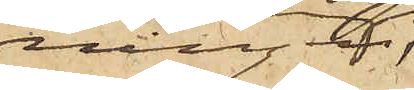ning
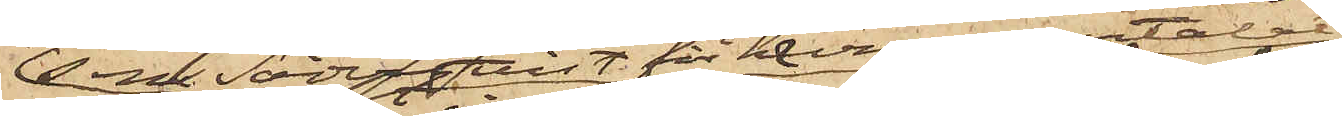som Söderqvist för honom omtalat
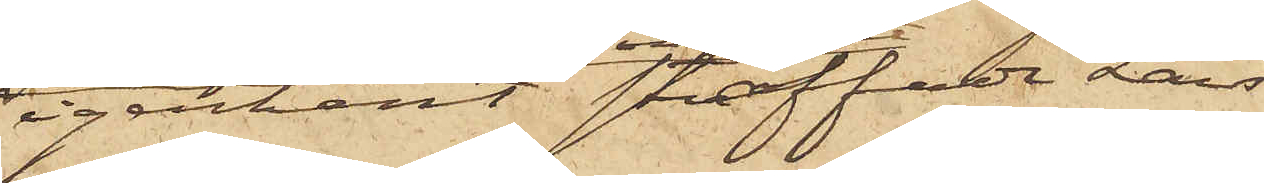igenkänt straffade Lars¬
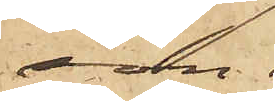son.
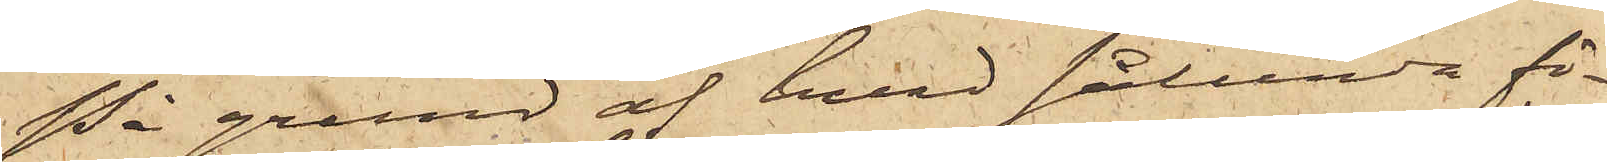På grund af hvad sålunda fö¬
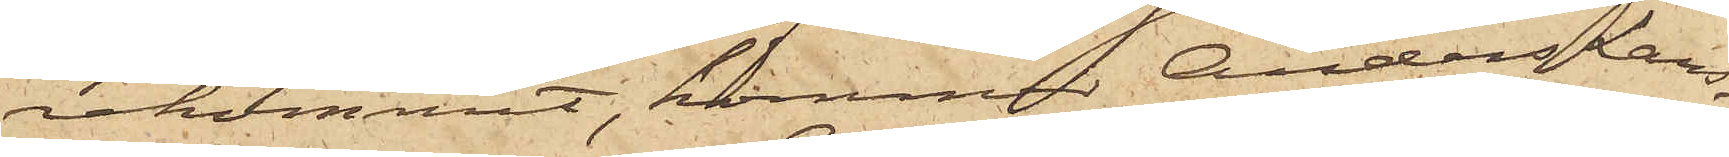rekommit, kommer Anders Lars¬
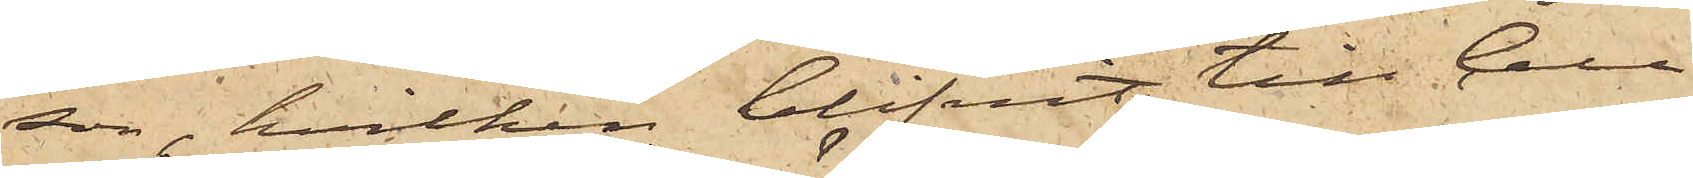son, hvilken blifvit till Cell¬
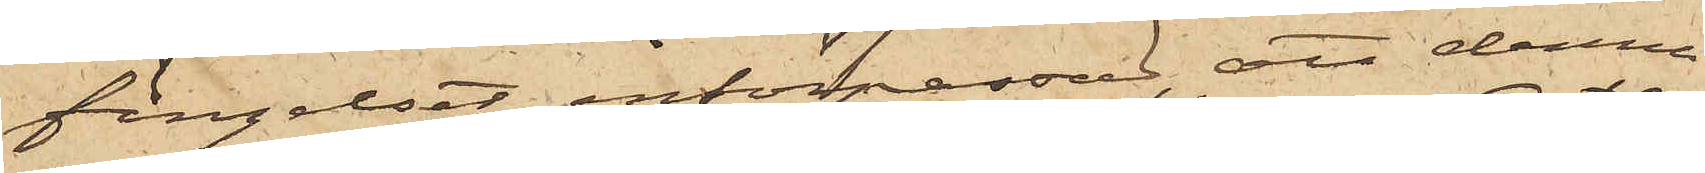fängelset införpassad, att denna
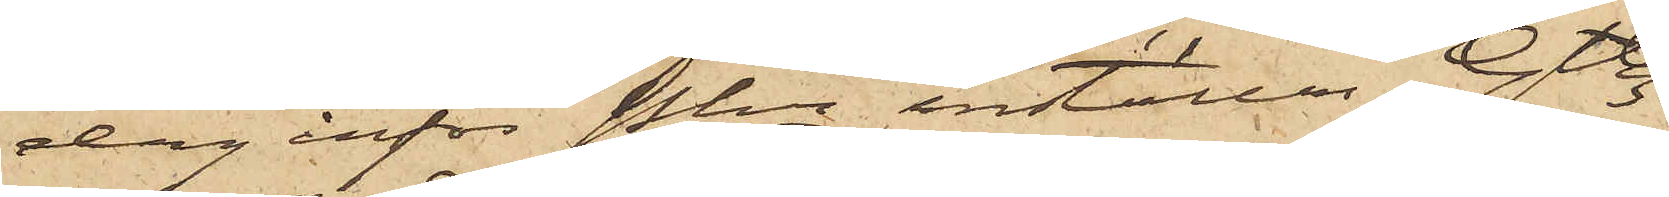dag inför Pkn inställas. Gtbg
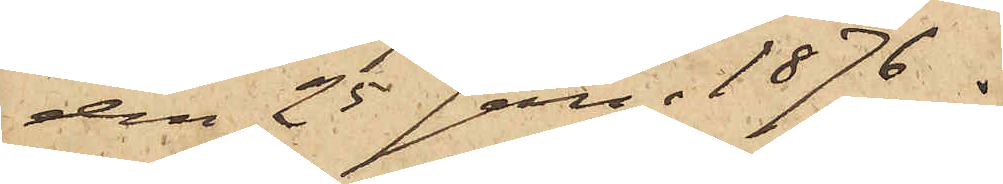den 25 Jan. 1876.
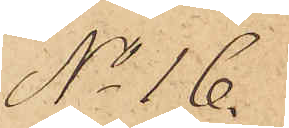No 16.
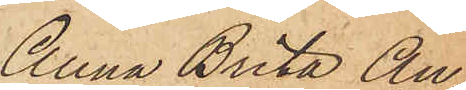Anna Brita An¬
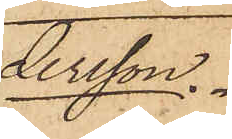tersson.
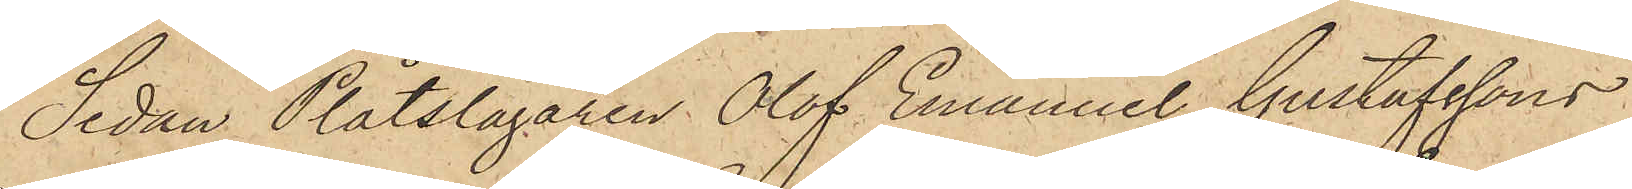Sedan Plåtslagaren Olof Emanuel Gustafssons
